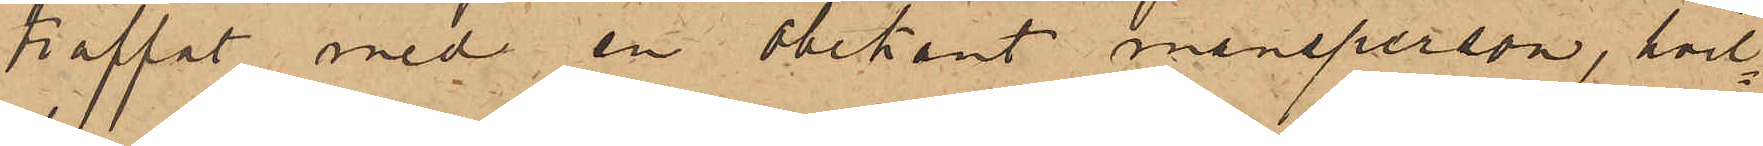träffat med en obekant mansperson, hvil¬
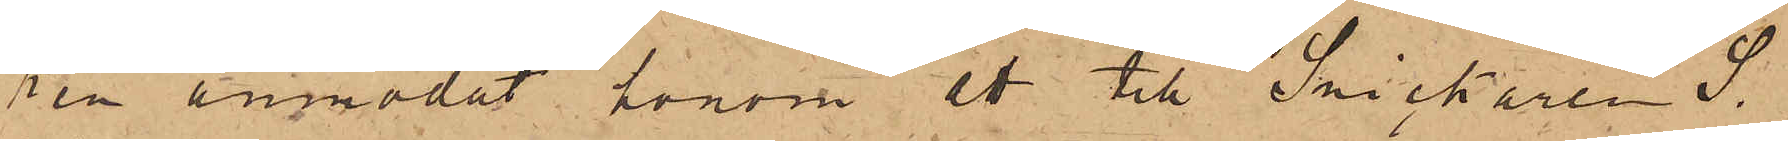ren anmodat honom att till Snickaren S.
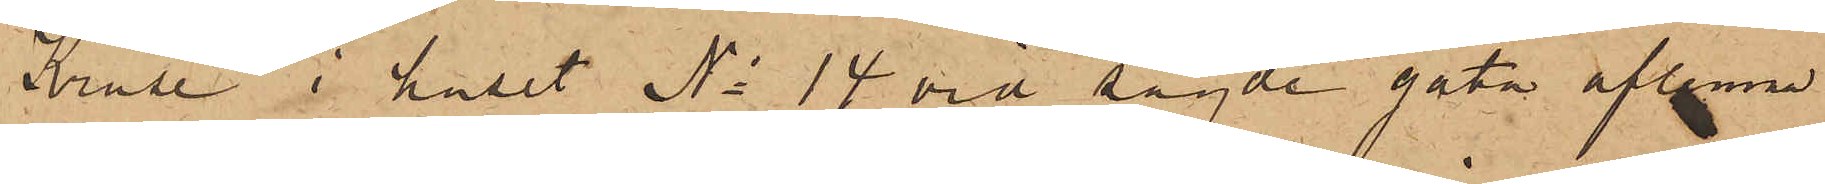Kruse i huset No 14 vid sagde gata aflemna
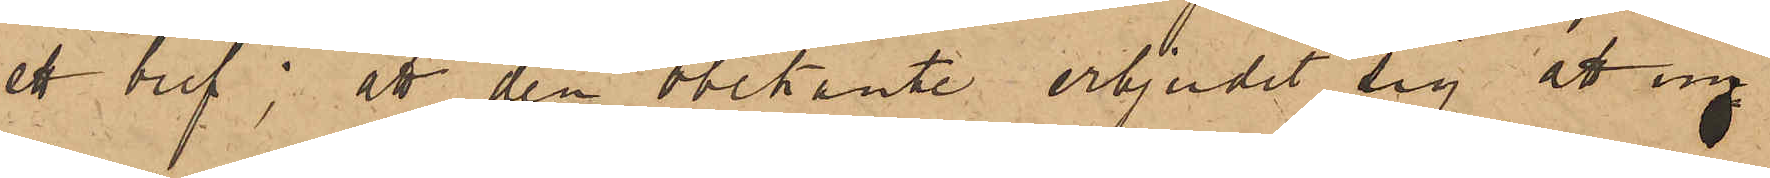ett bref; att den obekante erbjudit sig att un¬
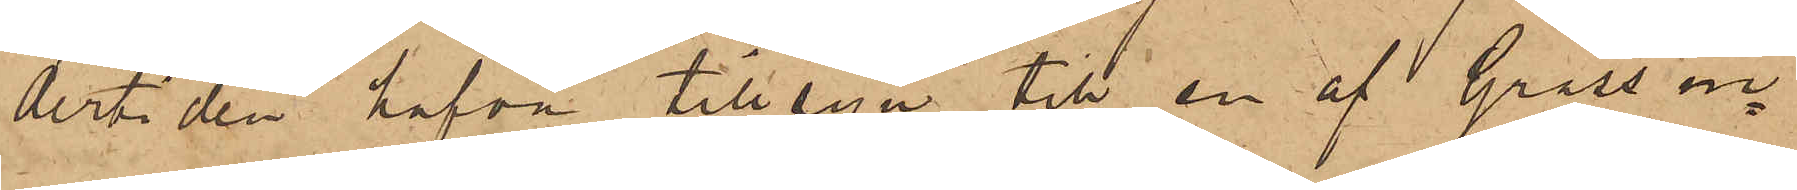der tiden hafva tillsyn till en af Grass in¬
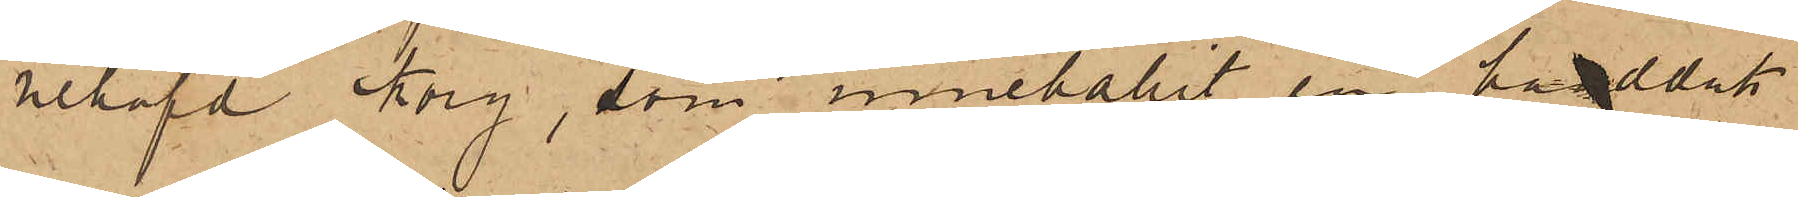nehafd Korg, som innehållit en handduk
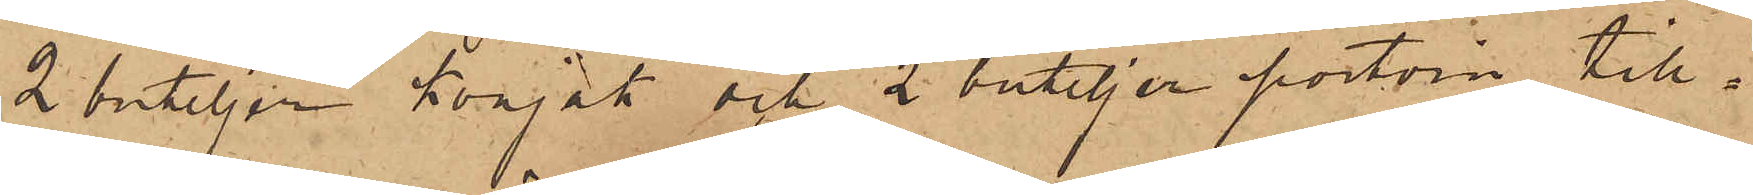2 buteljer konjak och 2 buteljer portvin till¬
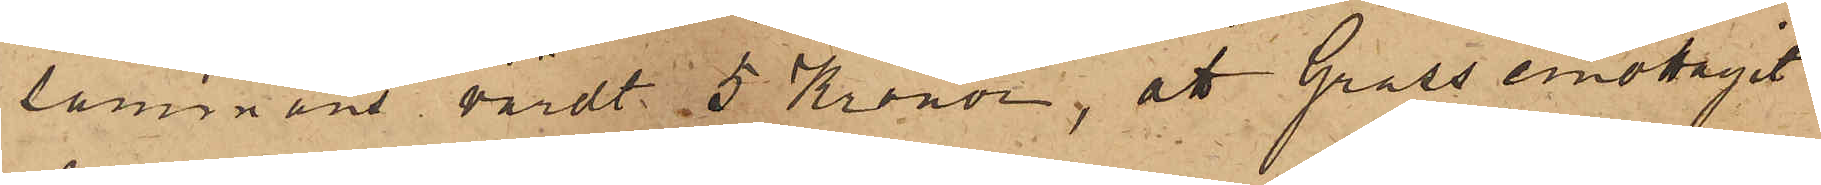sammans värdt 5 Kronor, att Gross emottagit
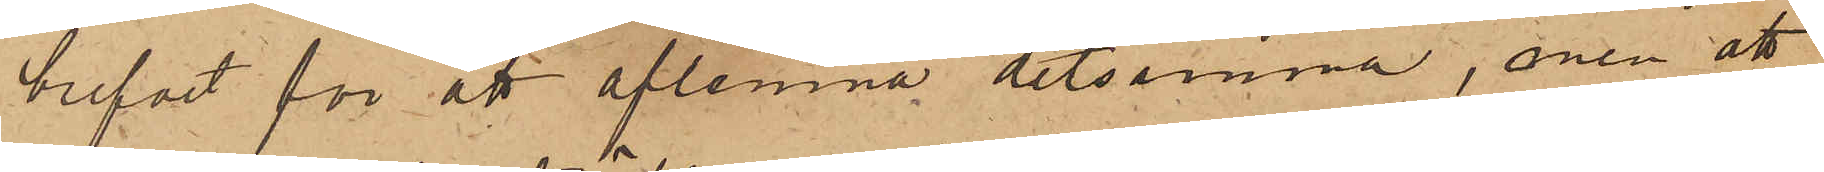brefvet för att aflemna detsamma, men att
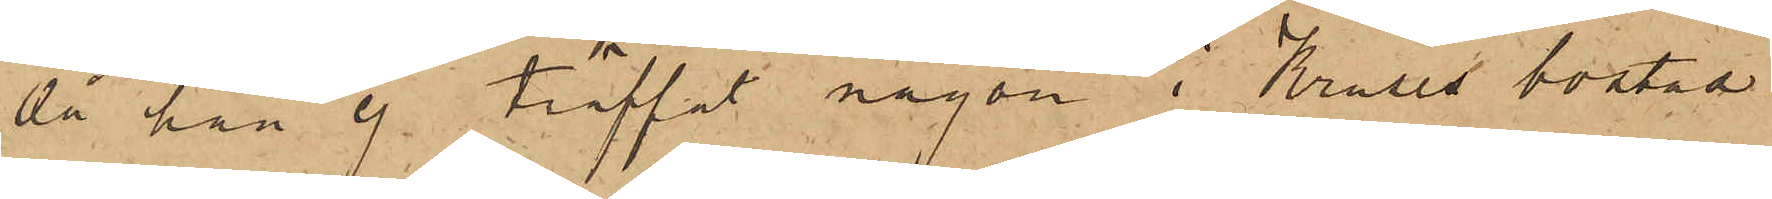då han ej träffat någon i Kruses bostad
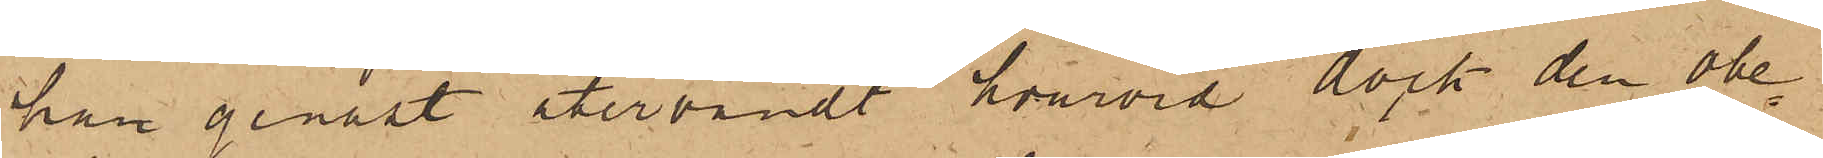han genast återvändt hvarvid dock den obe¬
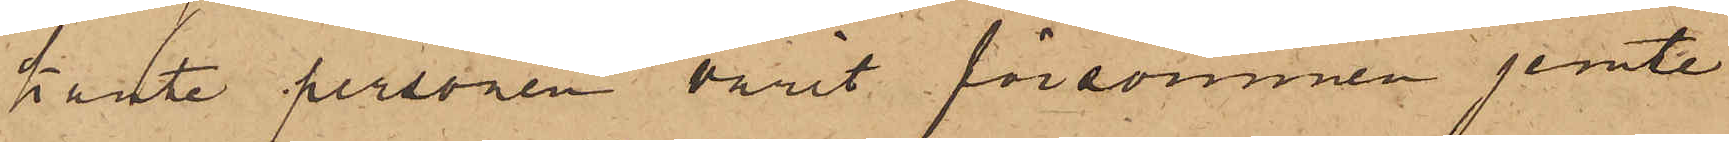kante personen varit försvunnen jemte
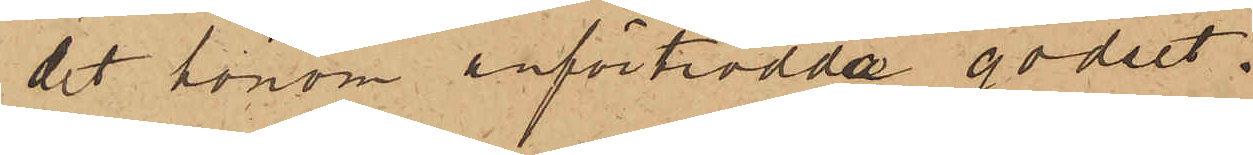det honom anförtrodda godset.
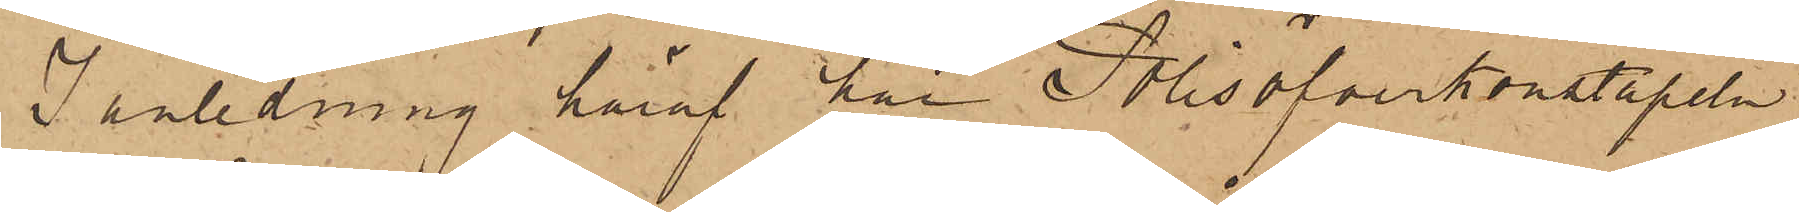I anledning häraf har Polisöfverkonstapeln
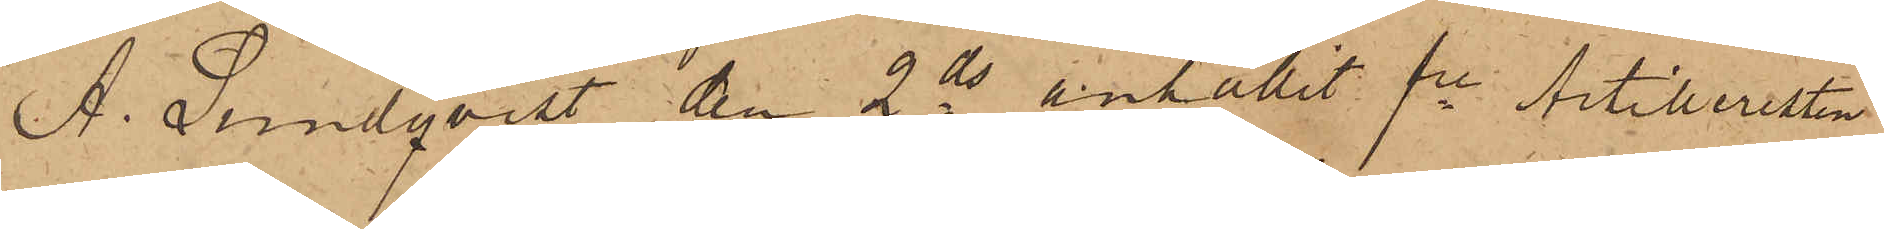A. Lundqvist den 2 ds anhållit fre Artilleristen
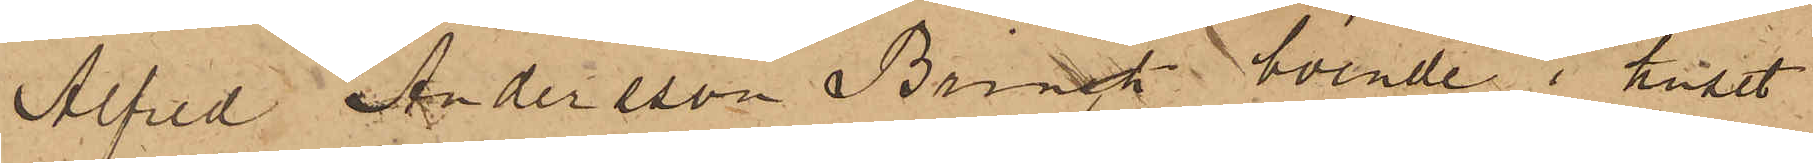Alfred Andersson Brinck, boende i huset
